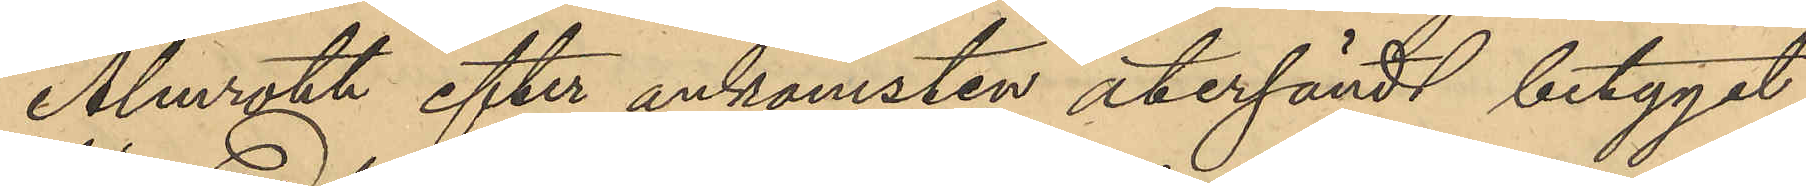Almroth efter ankomsten återsändt betygat
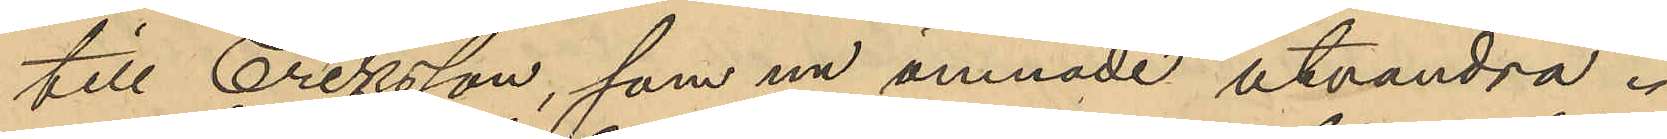till Eriksson, som nu ämnade utvandra.
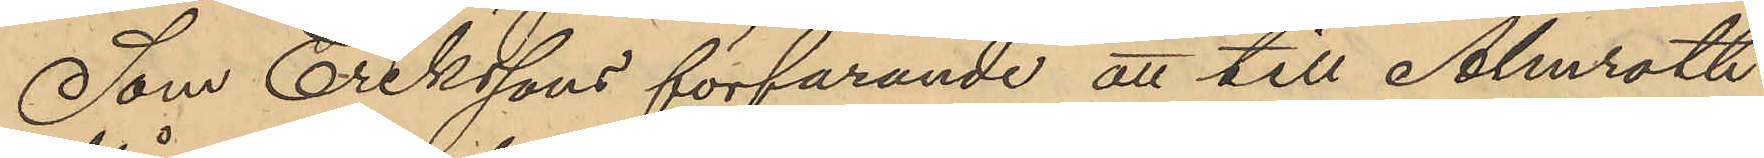Som Erikssons förfarande att till Almroth
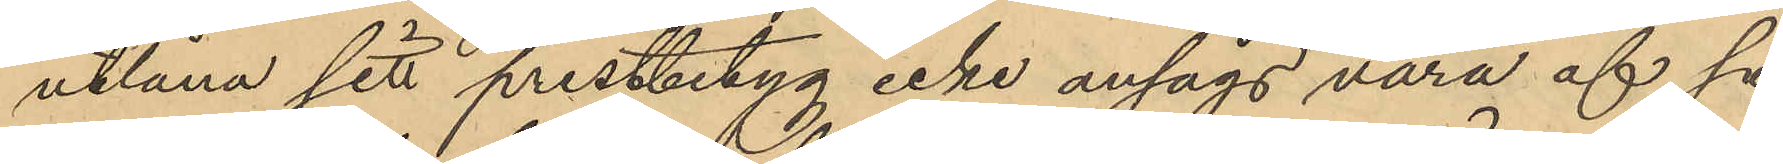utlåna sitt prestbetyg icke ansågs vara af så
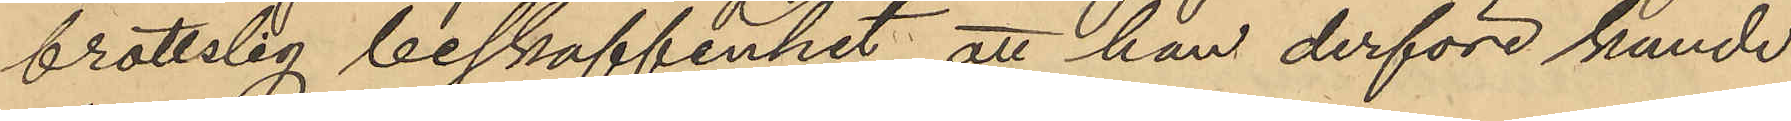brottslig beskaffenhet, att han derföre kunde
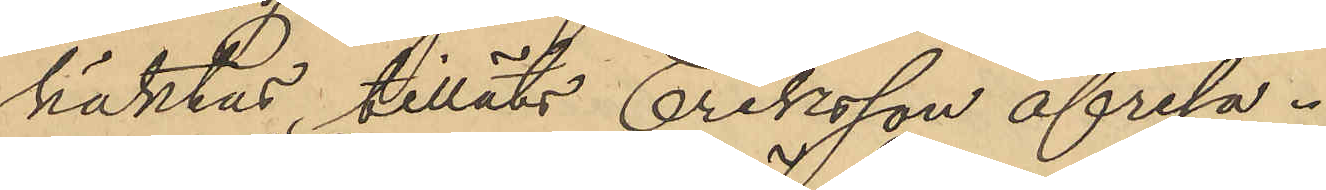häktas, tilläts Eriksson afresa.
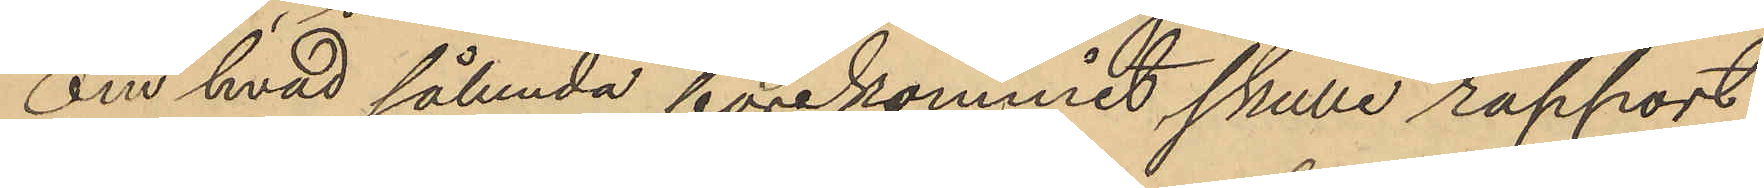Om hvad sålunda förekommit skulle rapport
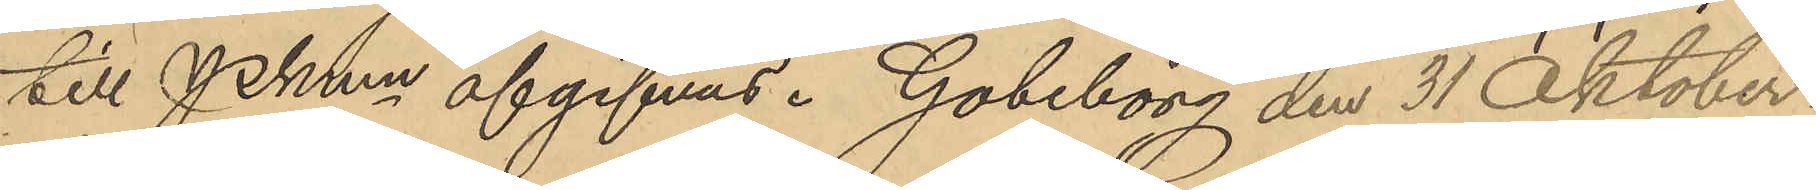till Pkmn afgifvas. Göteborg den 31 Oktober,
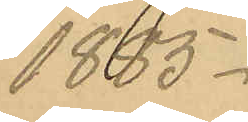1885.
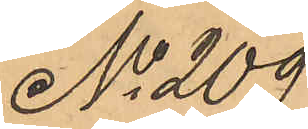No 209
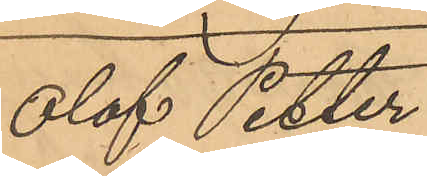Olof Petter
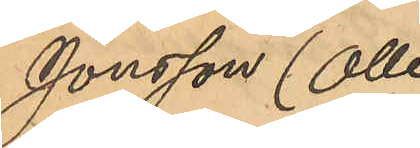Jonsson (Olle
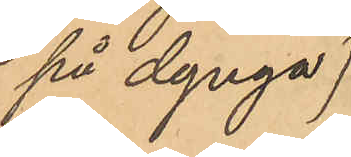på dynga)
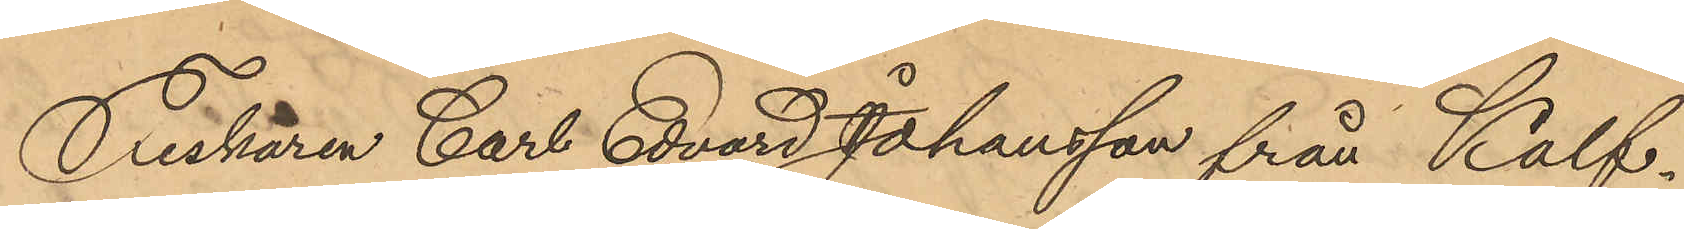Fiskaren Carl Edvard Johansson från Kalf¬
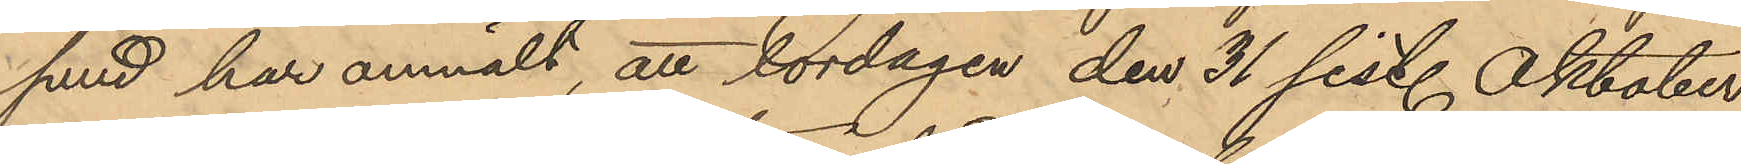sund har anmält, att lördagen den 31 sist. Oktober
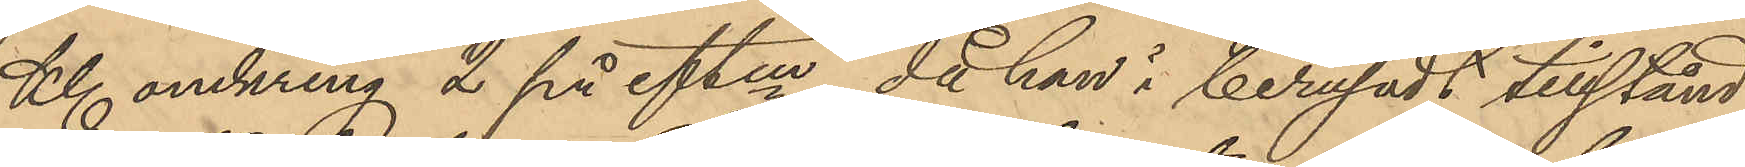Kl omkring 2 på eftm, då han i berusadt tillstånd¬
